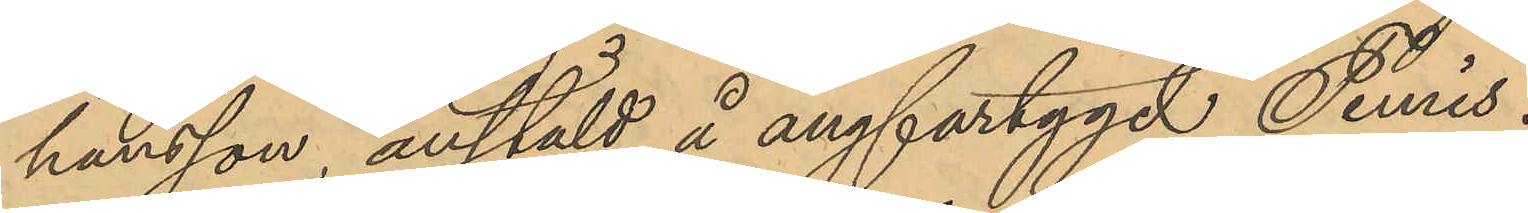hansson, anstäld å ångfartyget "Femis".
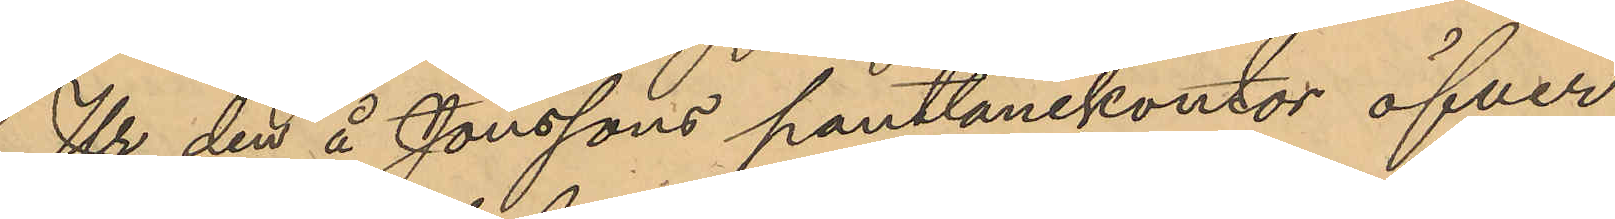Ur den å Jonssons pantlånekontor öfver
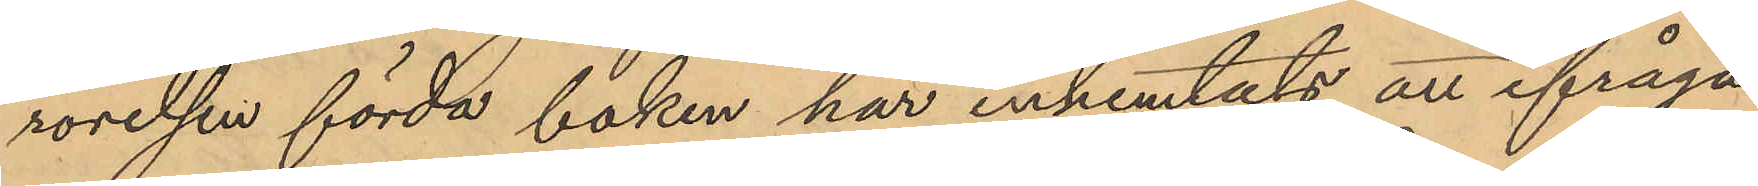rörelsen förda boken har inhemtats att ifråga¬
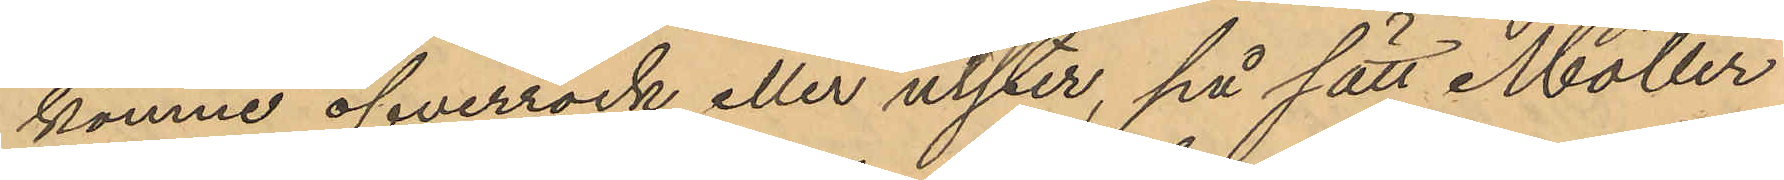komne öfverrock eller ulster, på sätt Möller
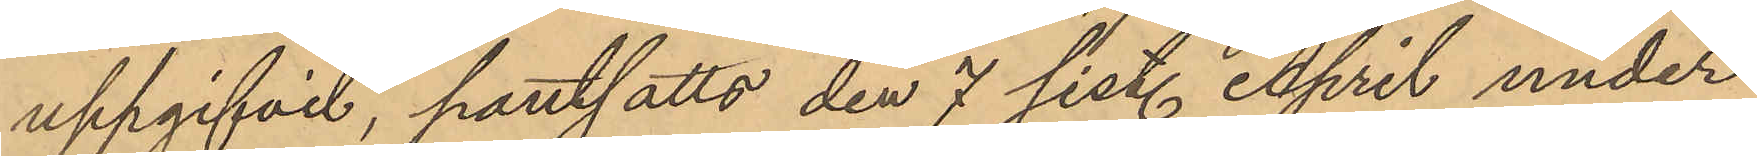uppgifvit, pantsatts den 7 sist. April under
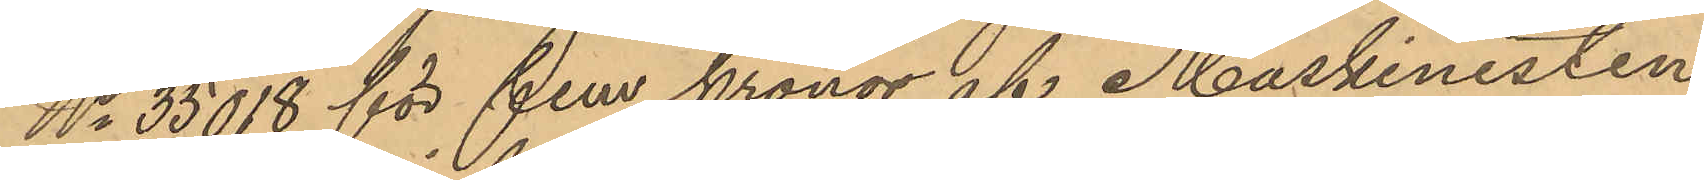No 35018 för fem kronor af Maskinisten
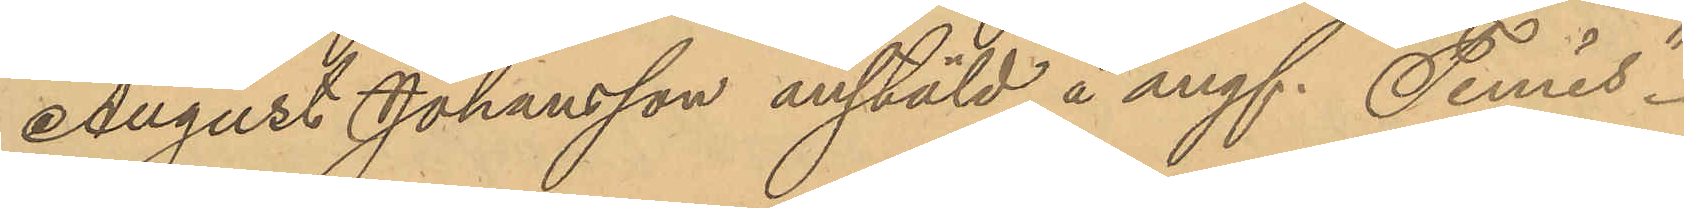August Johansson anstäld å ångf. "Femis"
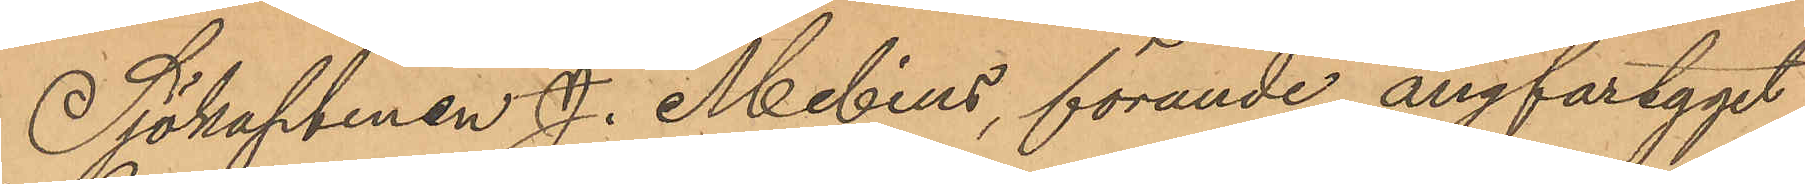Sjökaptenen J. Melins, förande ångfartyget
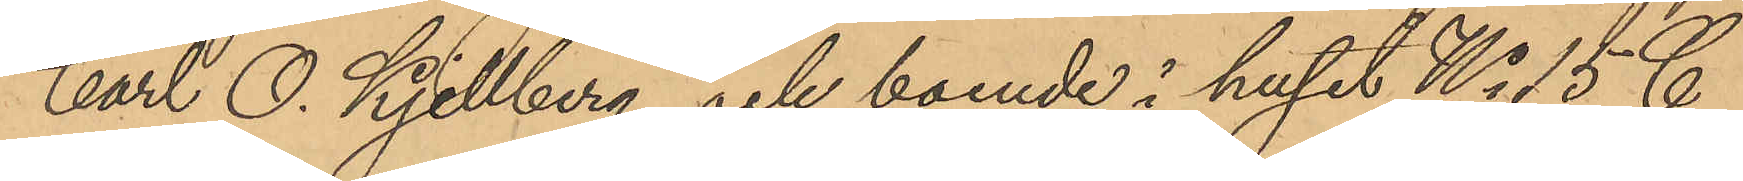"Carl O. Kjellberg" och boende i huset No 15 C
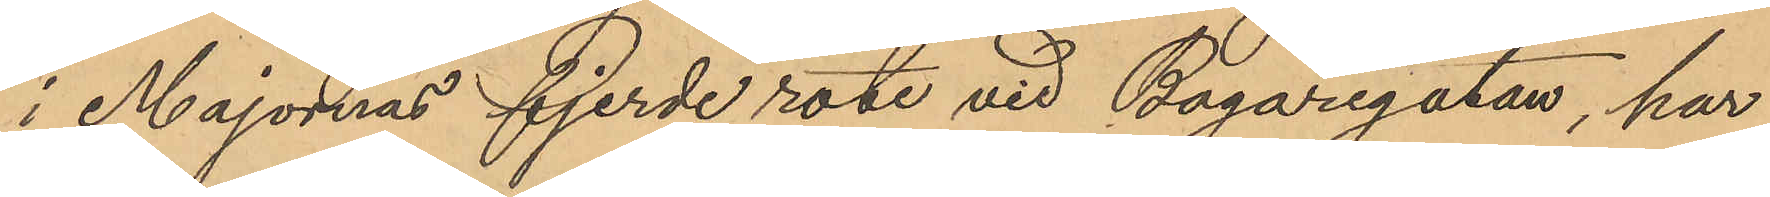i Majornas fjerde rote vid Bagaregatan, har
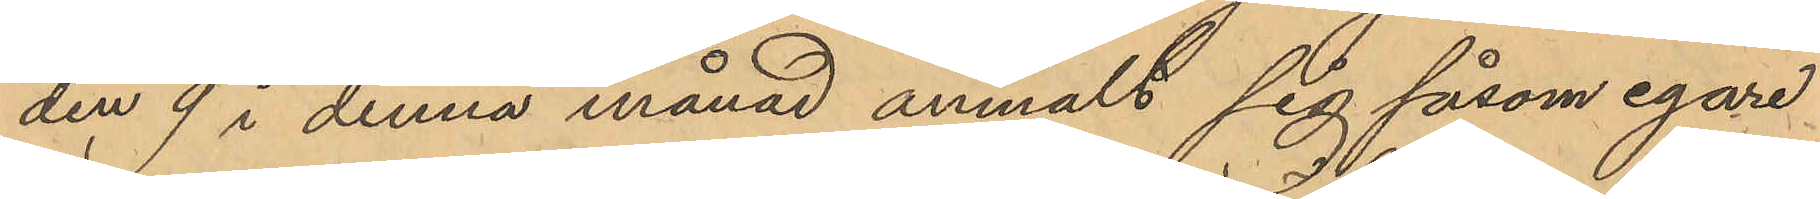den 9 i denna månad anmält sig såsom egare
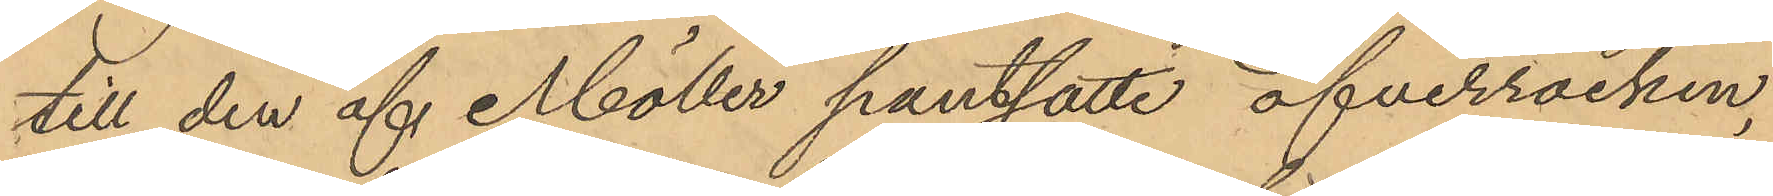till den af Möller pantsatte öfverrocken,
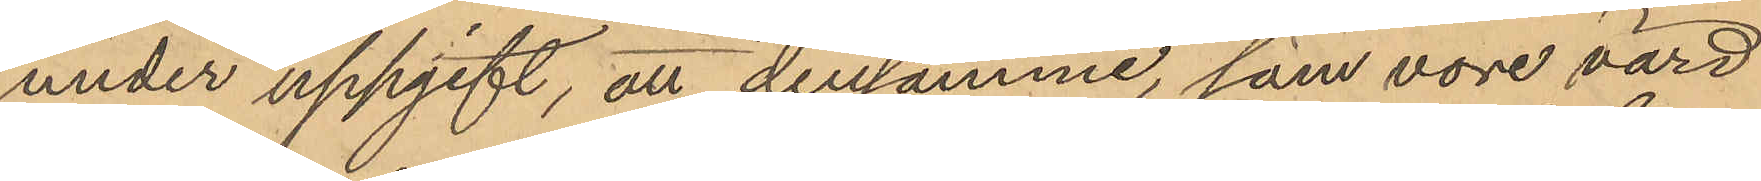under uppgift, att densamme, som vore värd
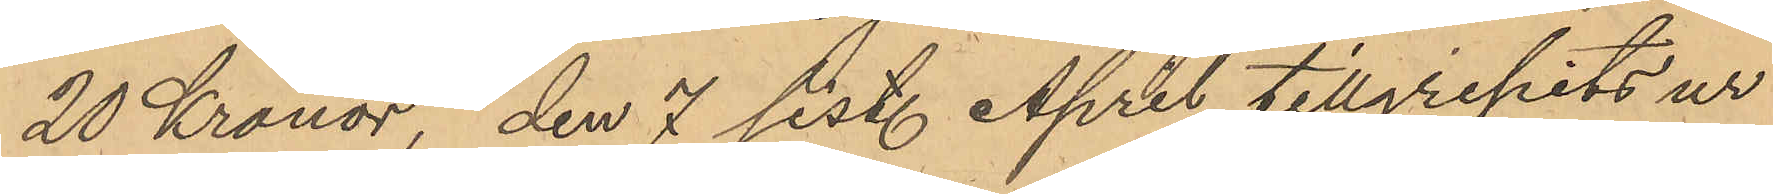20 Kronor, den 7 sist. April tillgripits ur
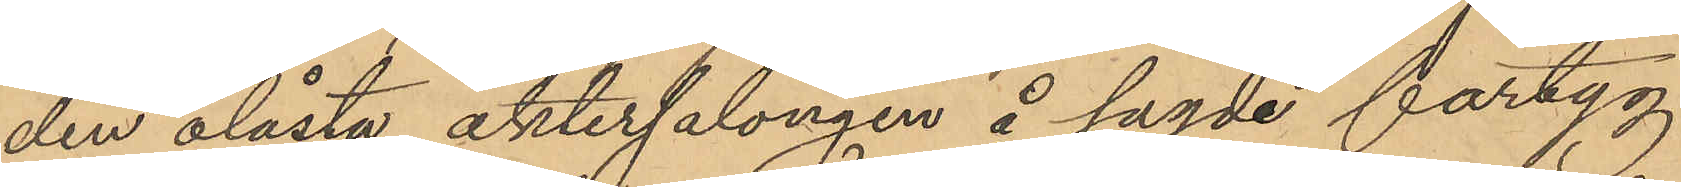den olåsta aktersalongen å sagde fartyg,
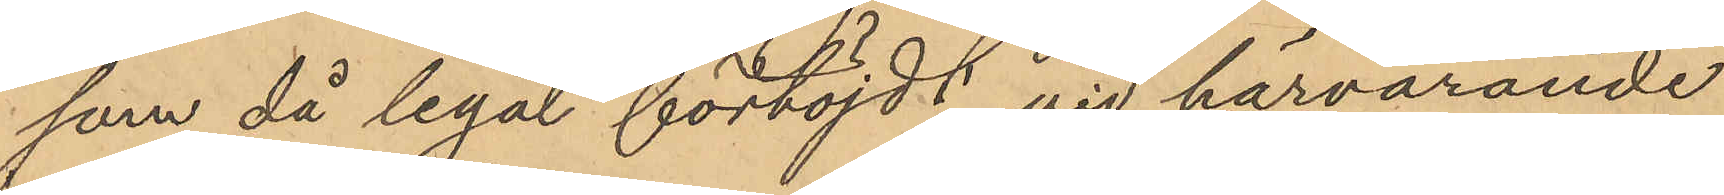som då legat förtöjdt vid härvarande
